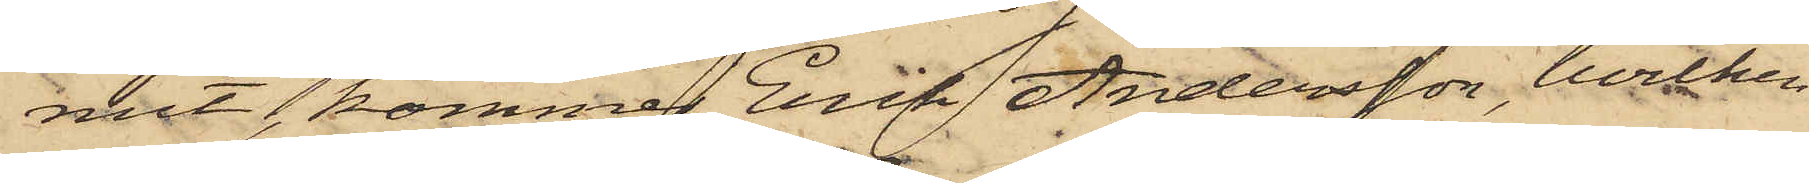mit, kommer Erik Andersson, hvilken
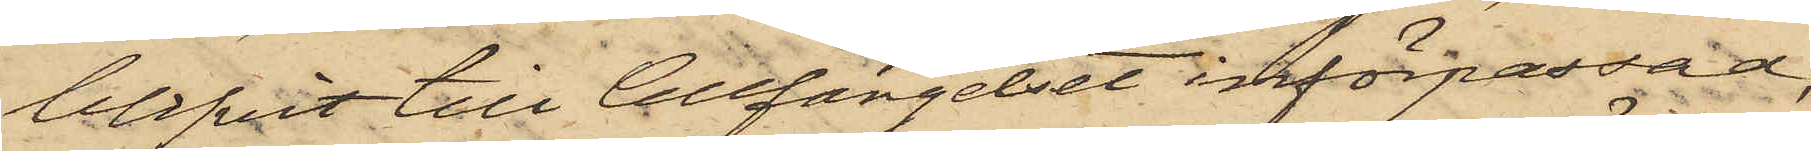blifvit till Cellfängelset införpassad,
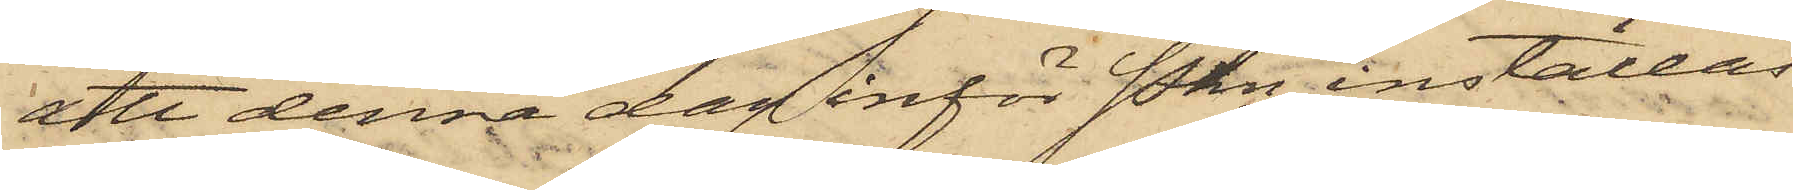att denna dag inför Pkn inställas.
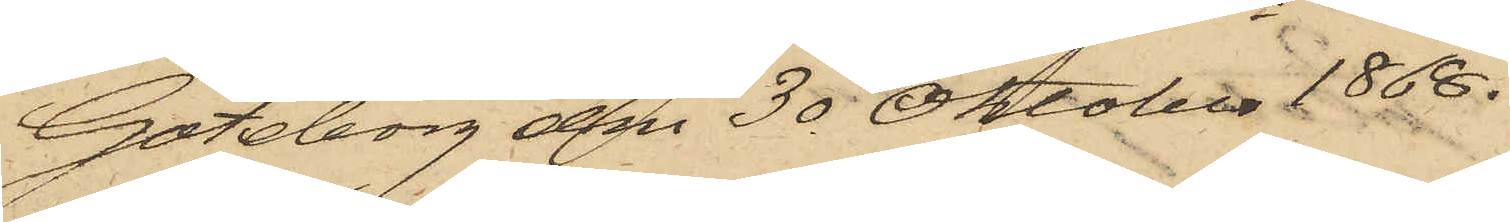Göteborg den 30 Oktober 1868.
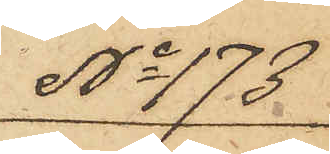No 173
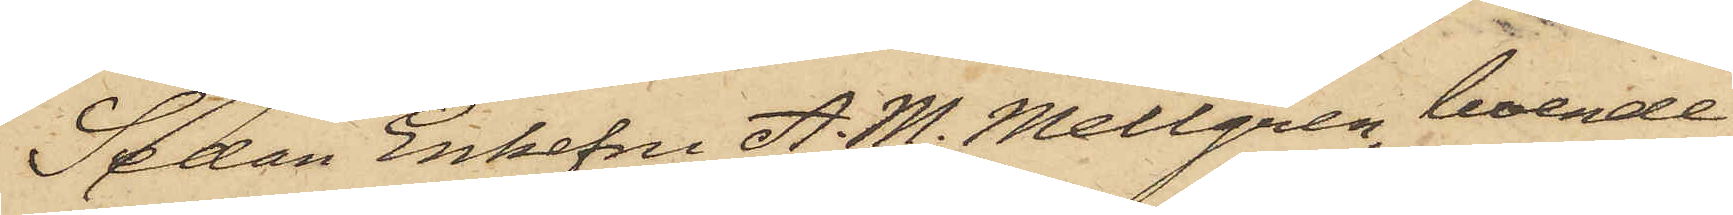Sedan Enkefru A. M. Mellgren, boende
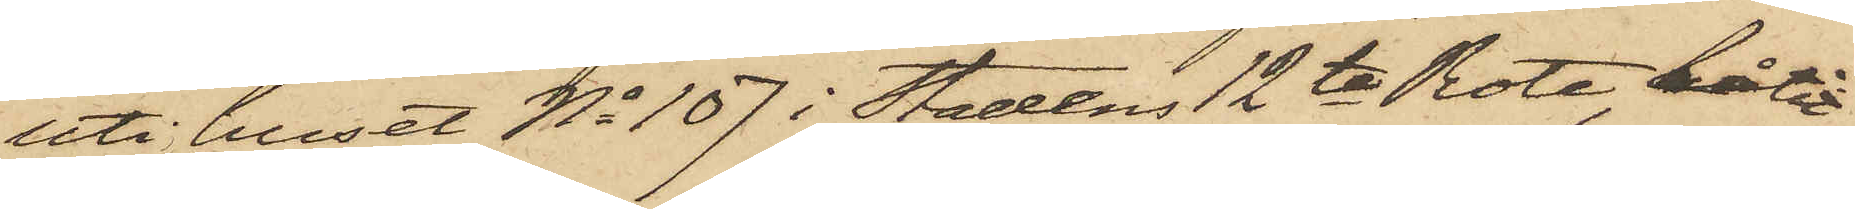uti huset No 107 i Stadens 12te Rote, låtit
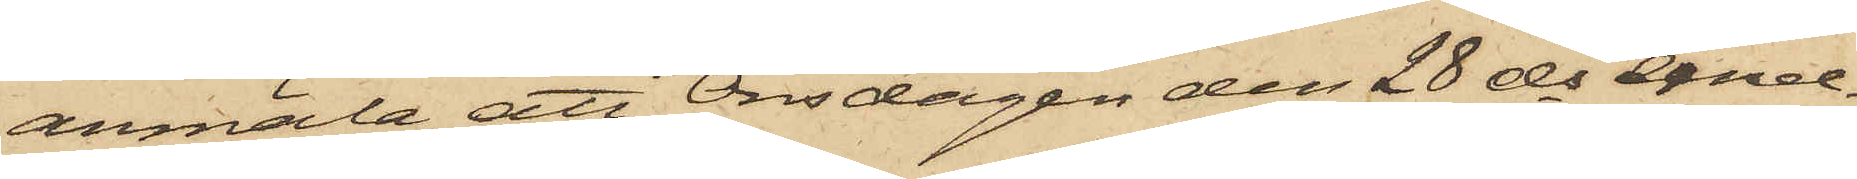anmäla, att Onsdagen den 28 ds emel¬
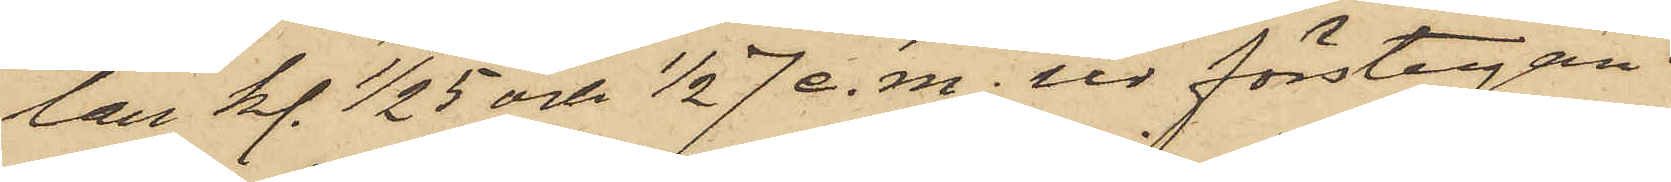lan kl. 1/2 5 och 1/2 7 e. m. vid förstugan
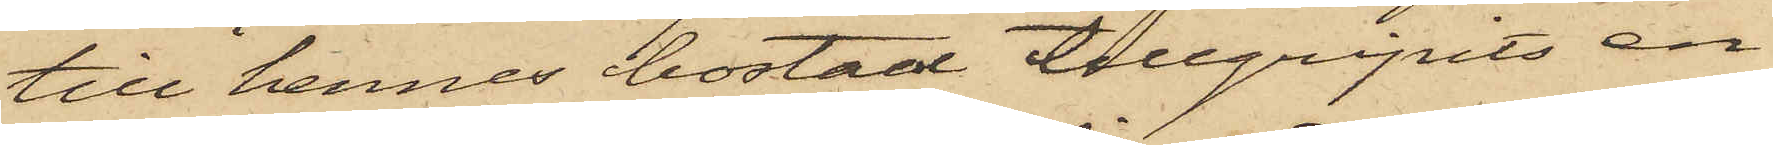till hennes bostad tillgripits en
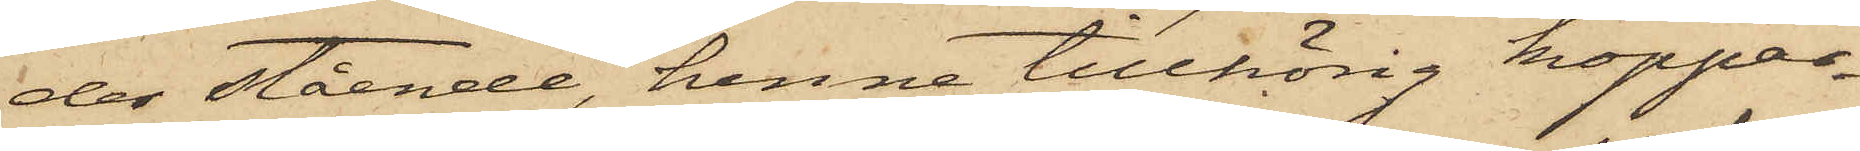der stående, henne tillhörig koppar¬
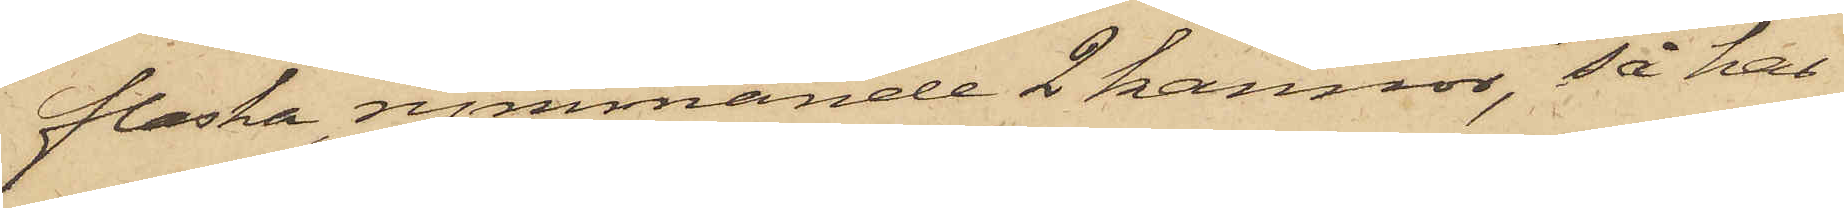flaska, rymmande 2 kannor, så har
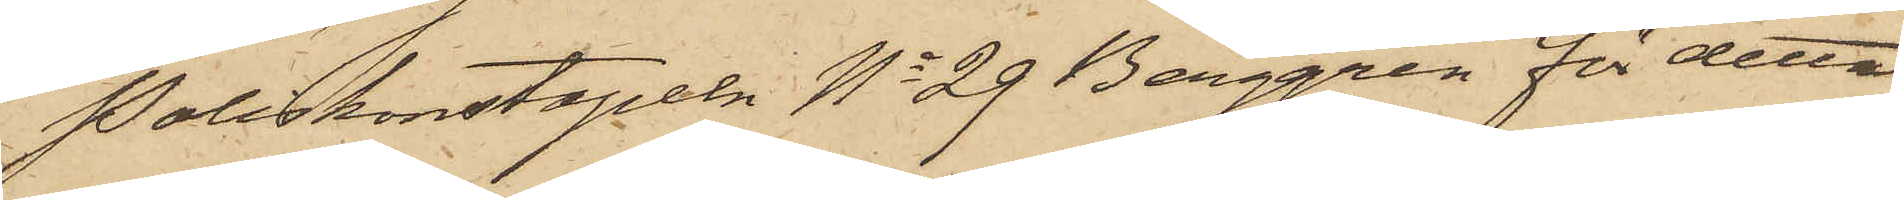Poliskonstapeln No 29 Berggren för detta
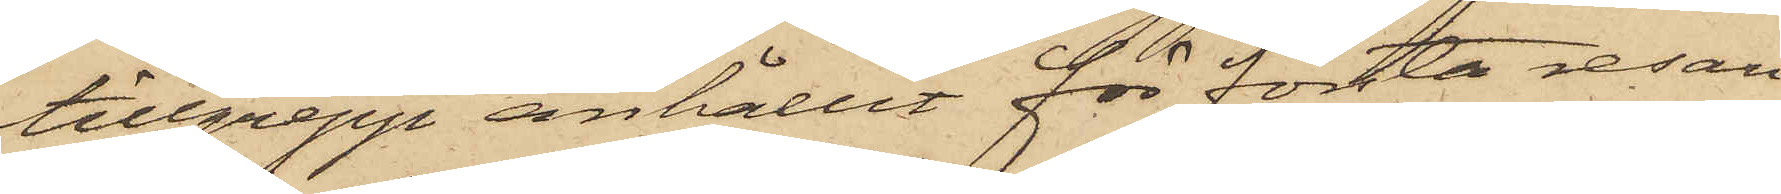tillgrepp anhållit för första resan
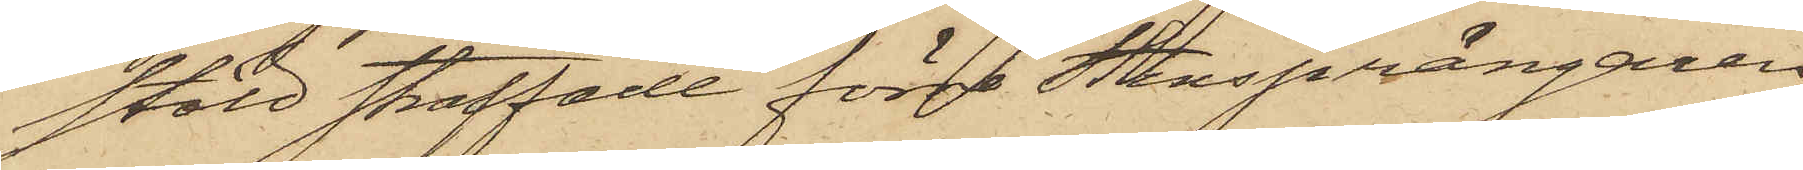stöld straffade förre Stensprängaren
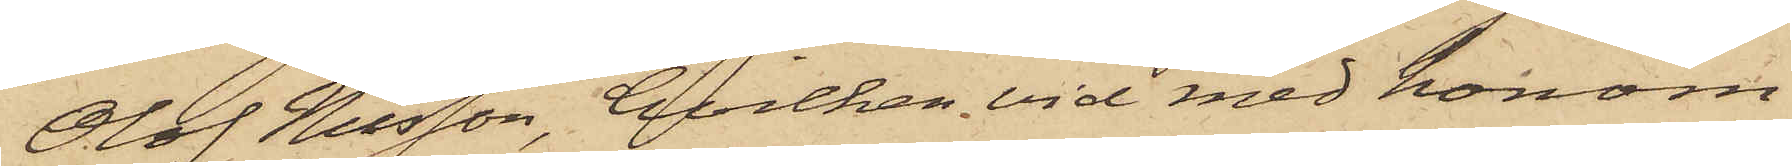Olof Nilsson, hvilken vid med honom
